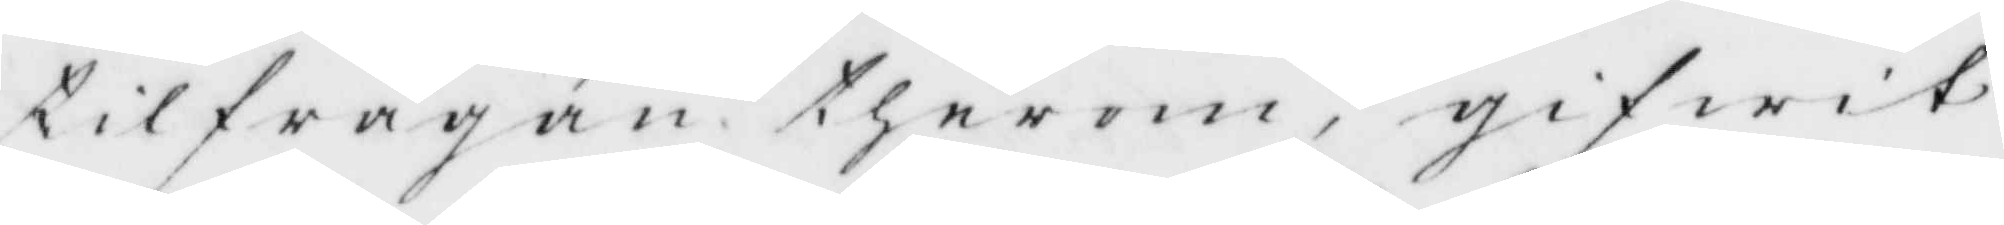tilfrågan therom, gifwit
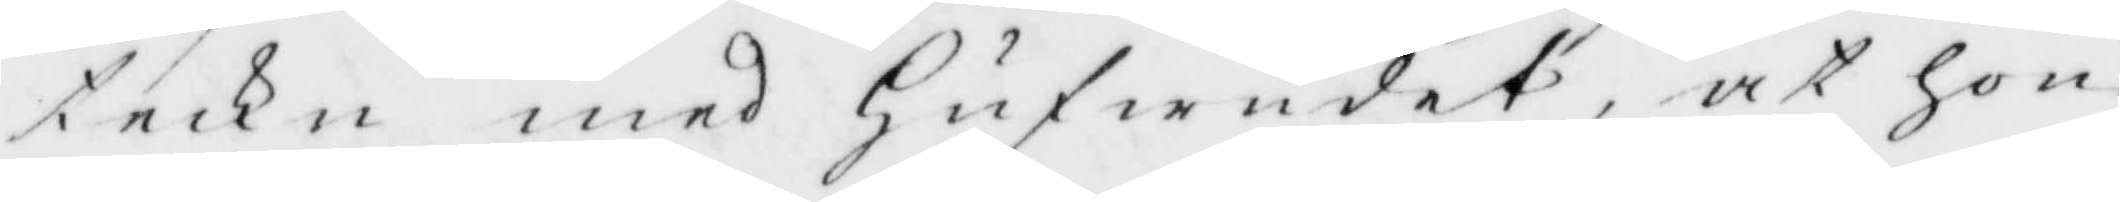teckn med Hufwudet at hon
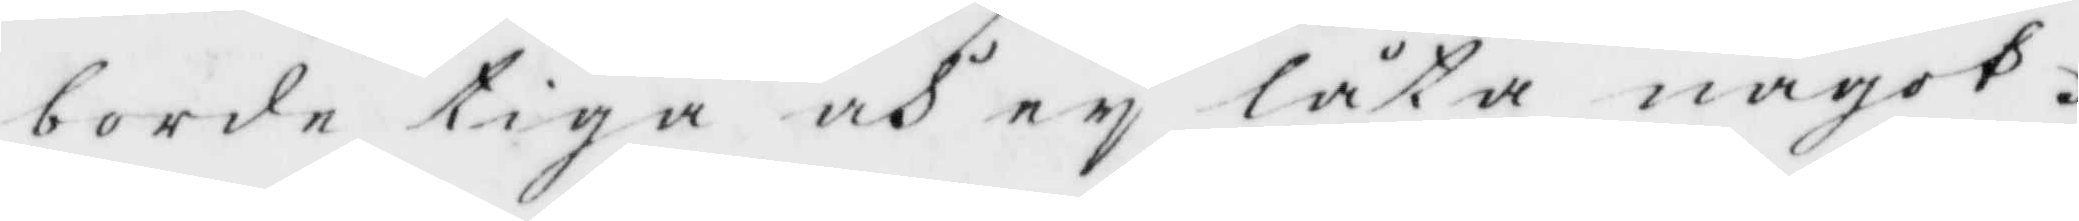borde tiga och ey låta något.
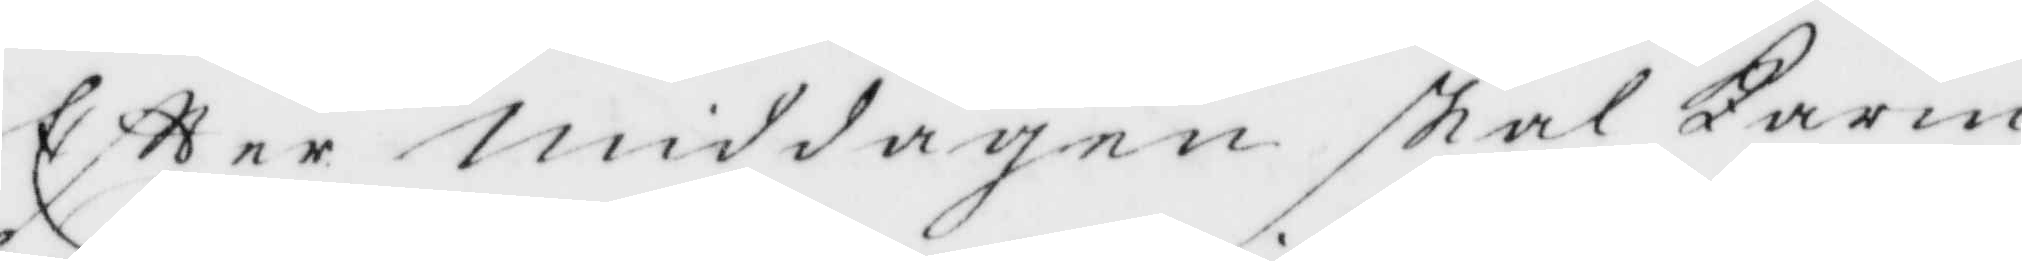Eftter Middagen skal Carin
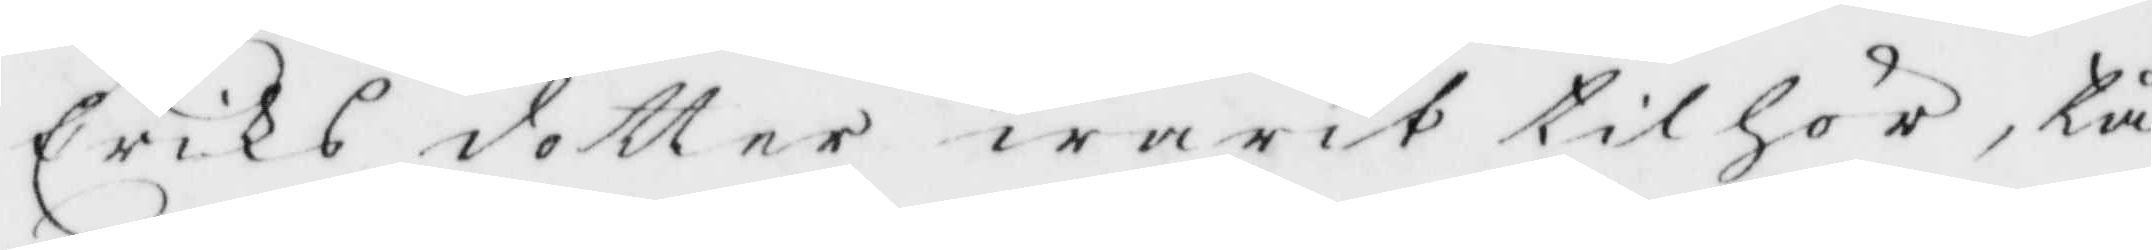Eriks dotter warit tilhör, tå
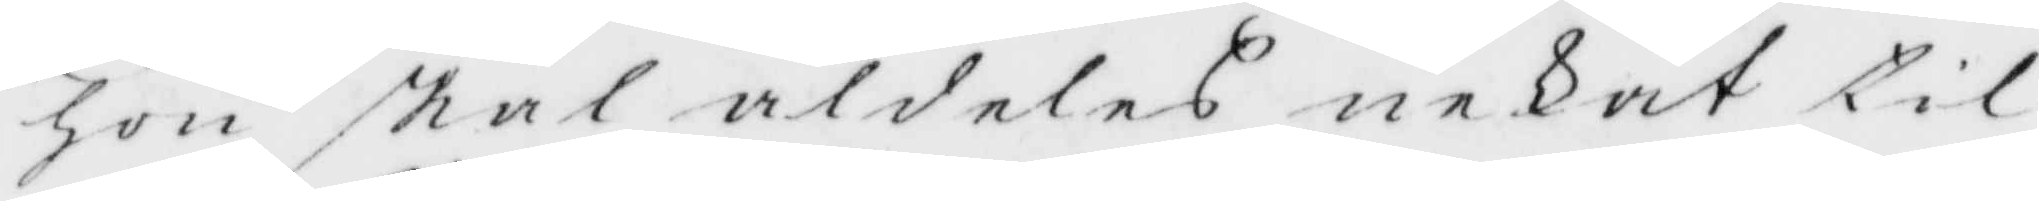hon skal aldeles nekat til
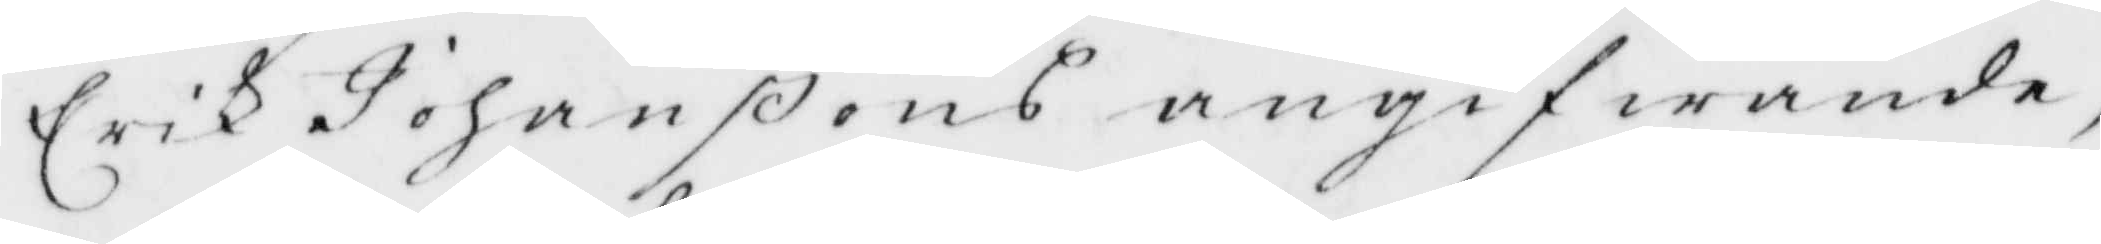Erik Johanßons angifwande,
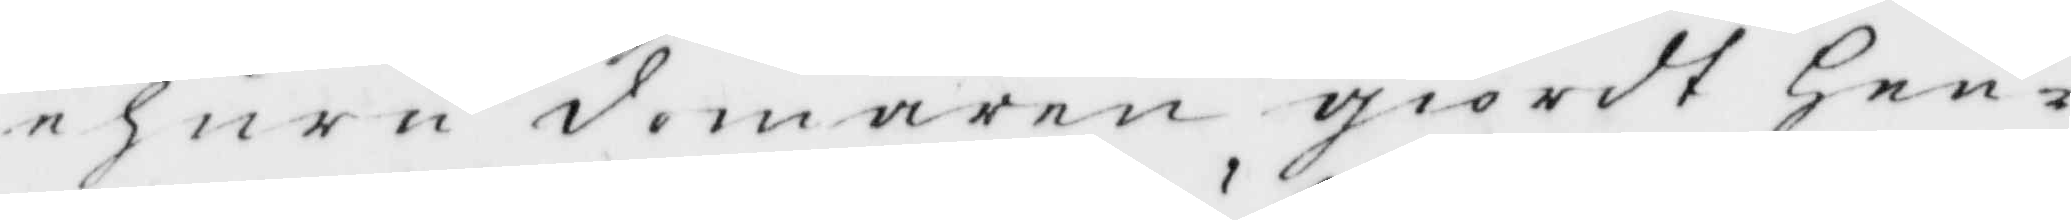ehuru domaren giordt Hen¬
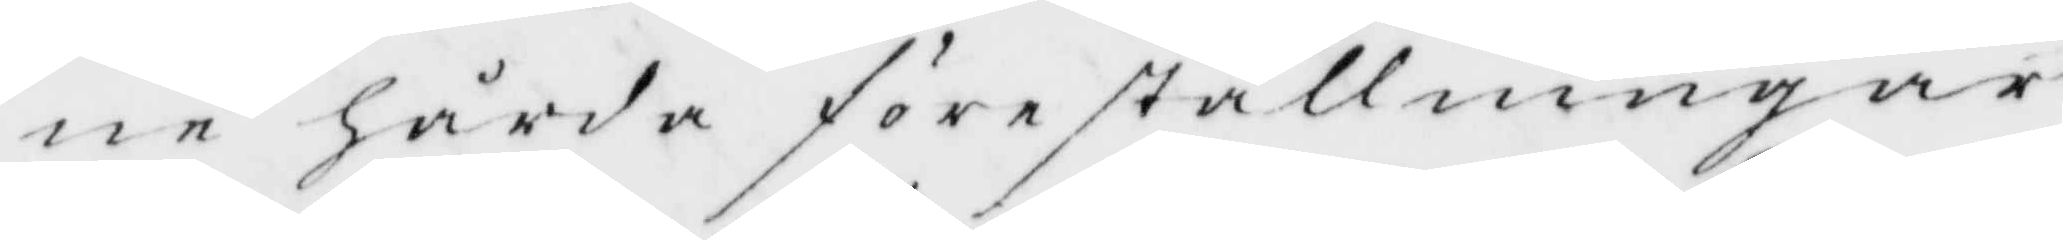ne hårda föreställningar
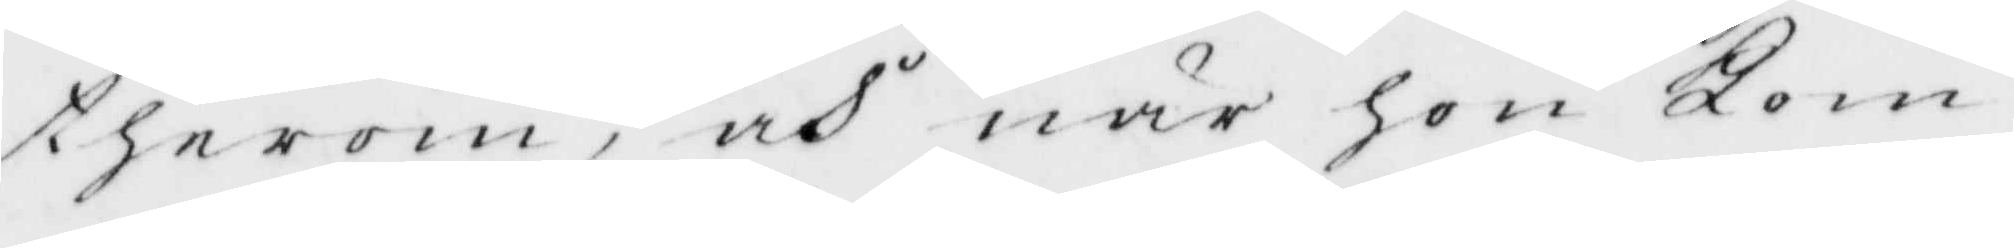therom, och när hon Kom¬
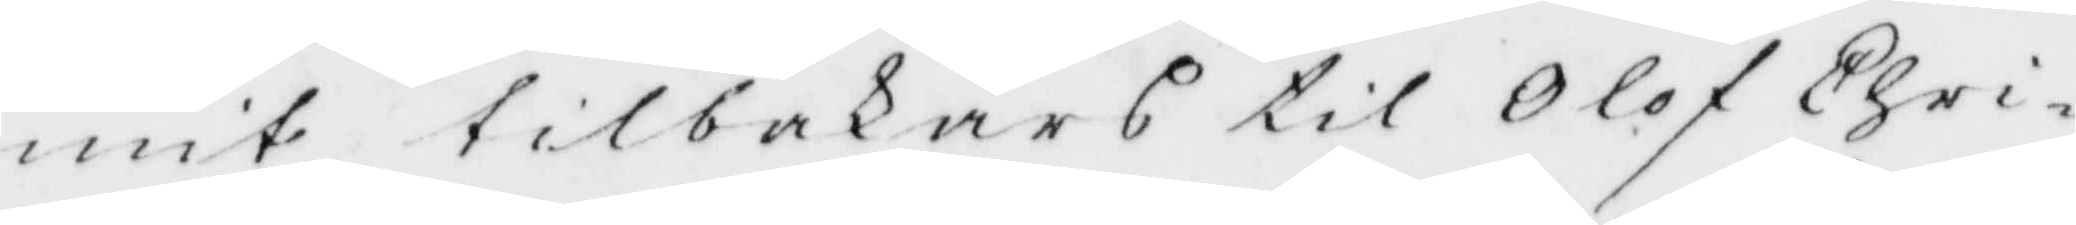mit tillbakats til olof Chri¬
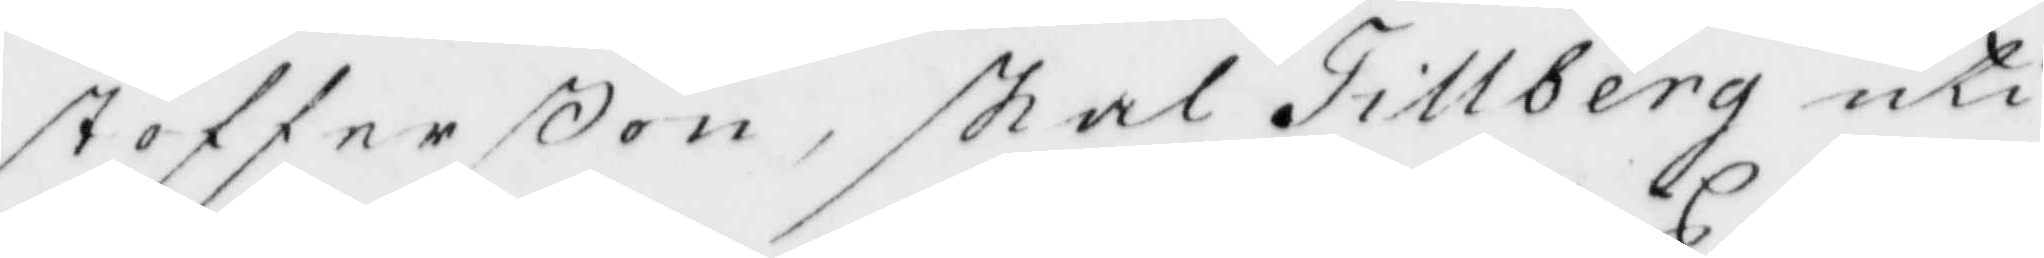stofferßon, skal Tillberg uti
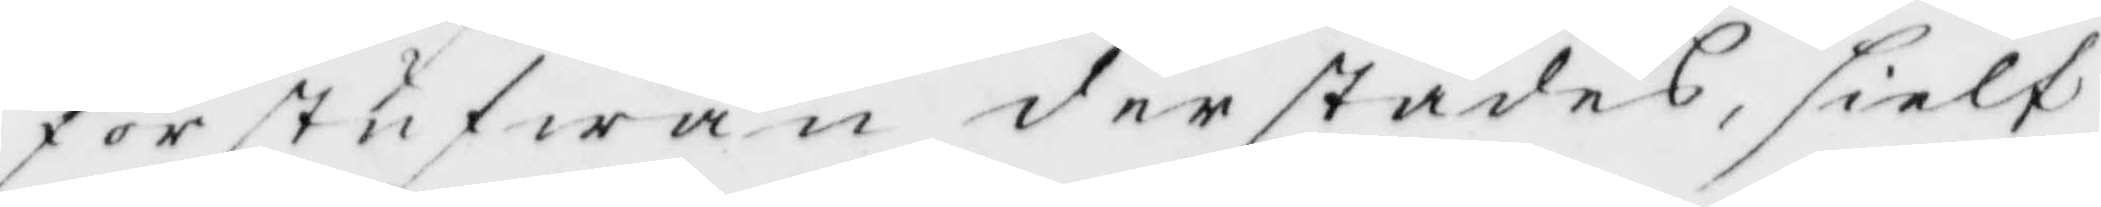förstufwan derstädes, sielf
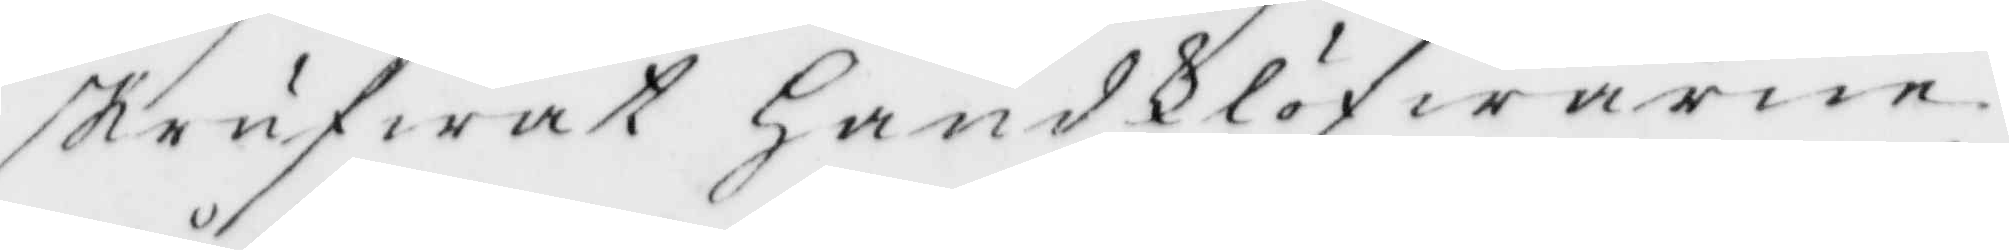skrufwat HandKlöfwarne
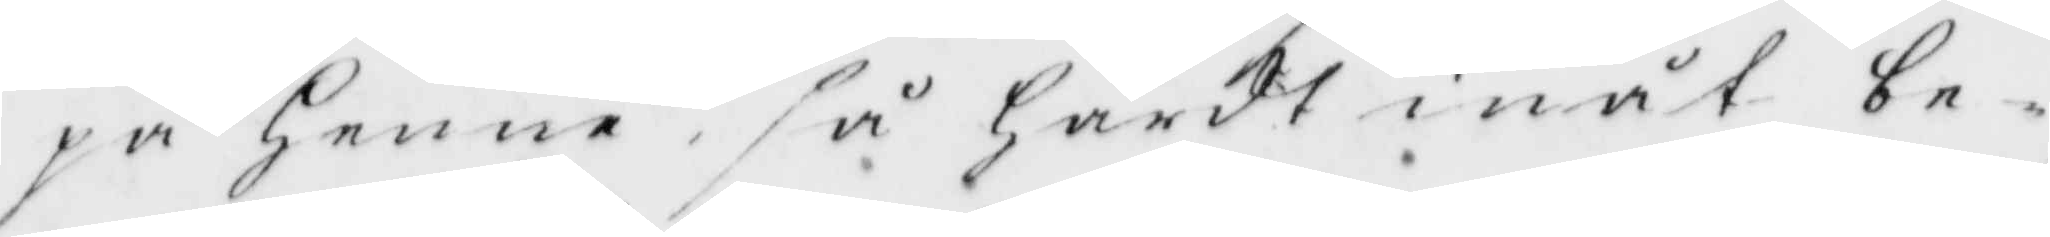på henne så Hårdt inåt be¬
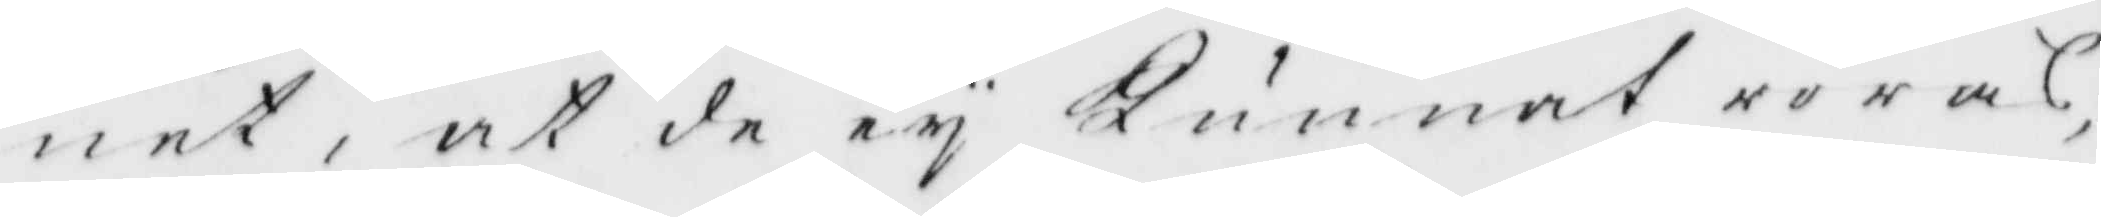net, at de ey Kunnat röras,
